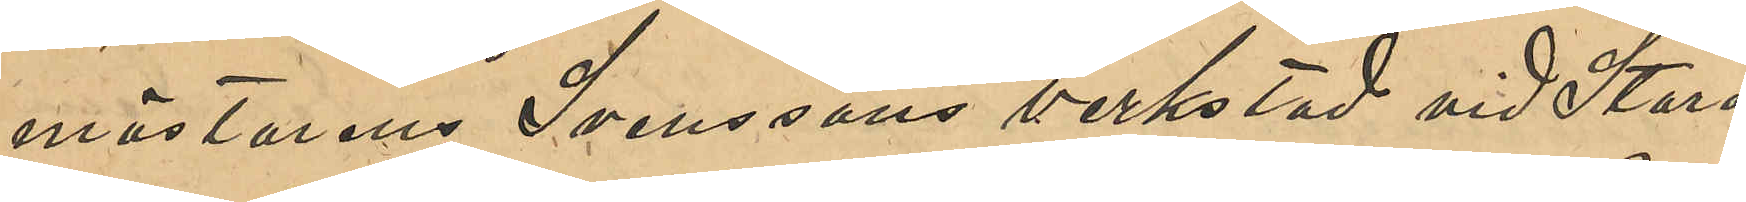mästaren Svenssons verkstad vid Stora
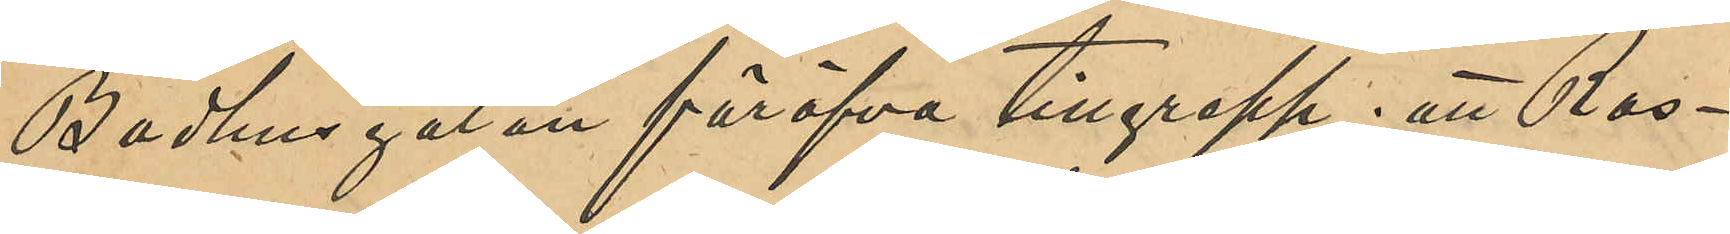Badhusgatan föröfva tillgrepp; att Ras¬
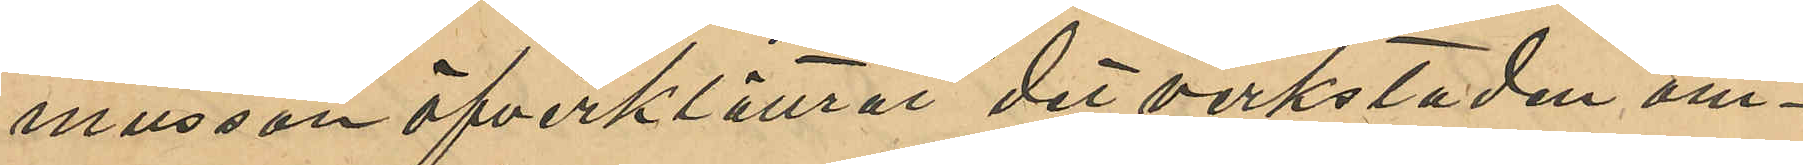musson öfverklättrat det verkstaden om¬
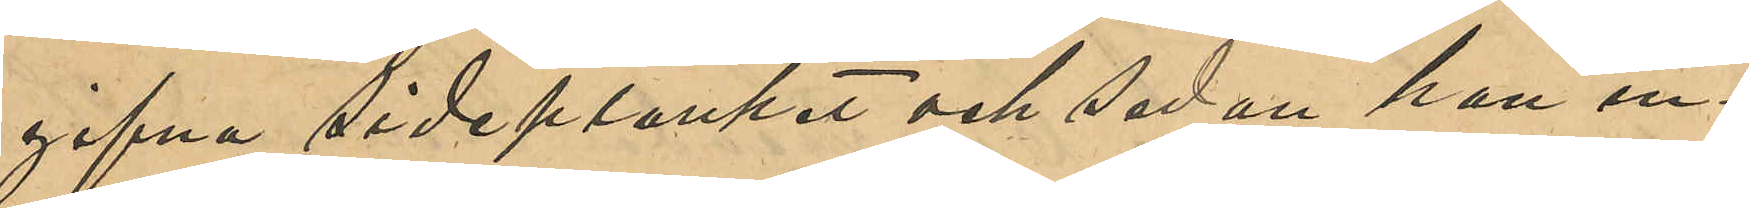gifna sideplanket och sedan han in¬
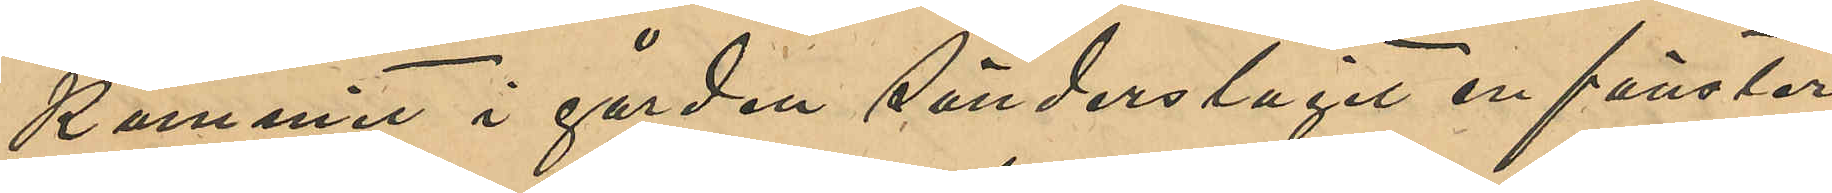kommit i gården sönderslagit en fönster¬
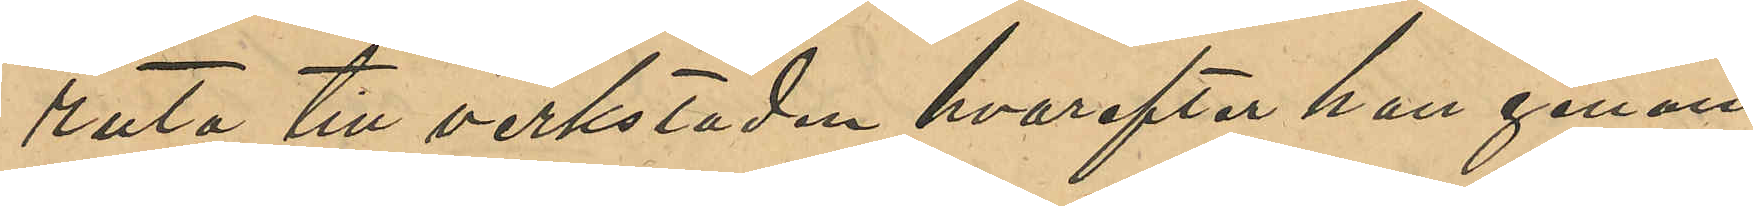ruta till verkstaden hvarefter han genom
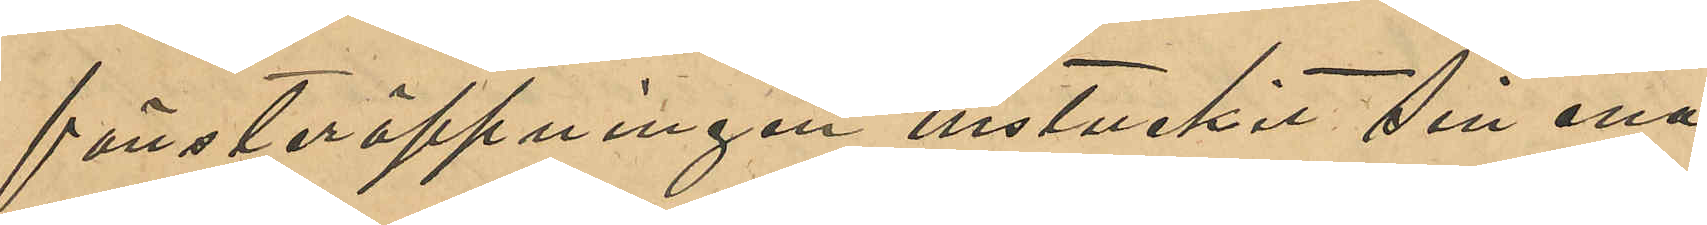fönsteröppningen instuckit sin ena
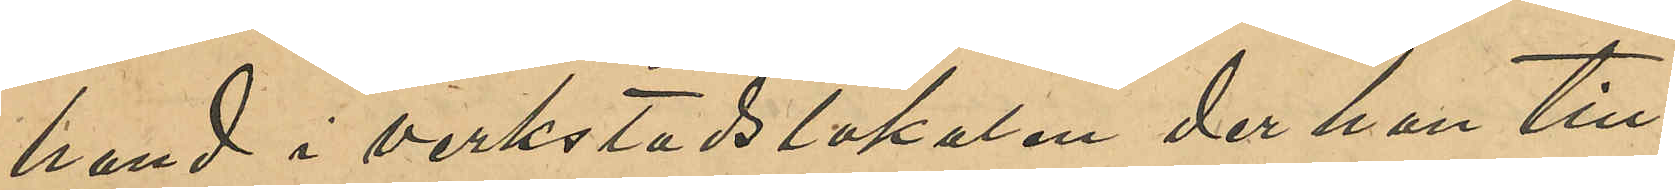hand i verkstadslokalen der han till¬
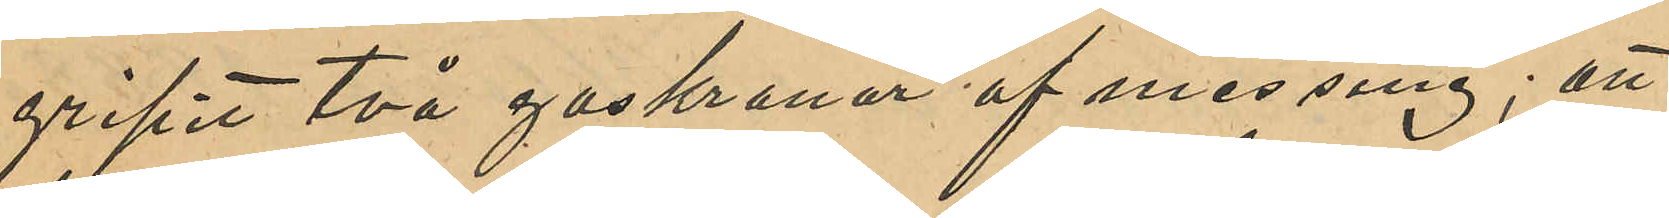gripit två gaskranar af messing; att
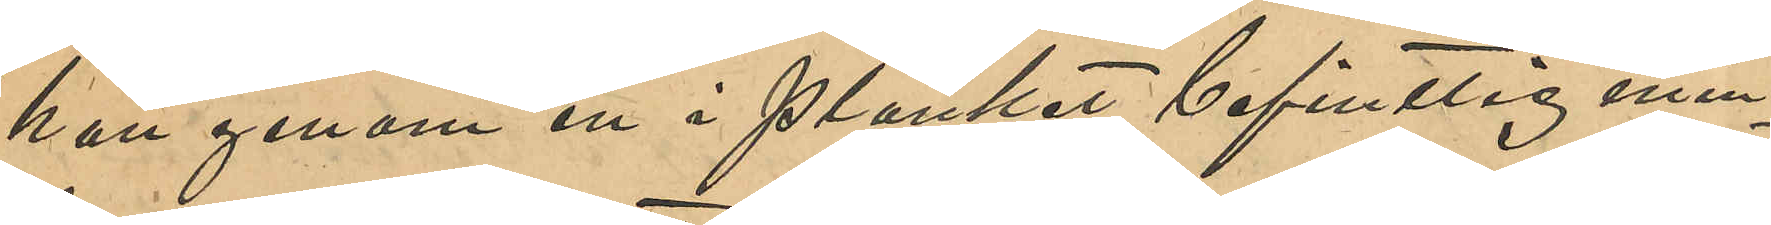han genom en i planket befintlig min¬
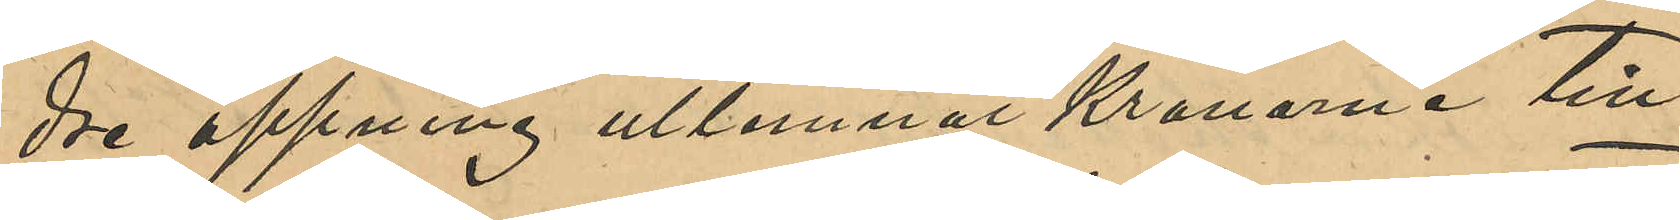dre öppning utlemnat kranarna till
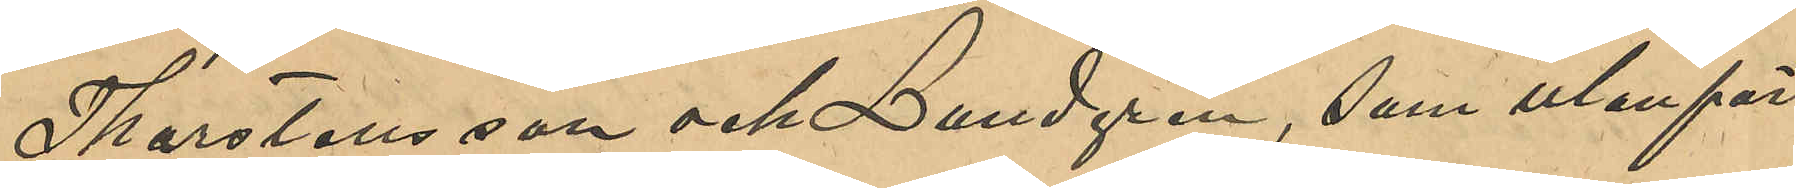Thorstensson och Lundgren, som utanför
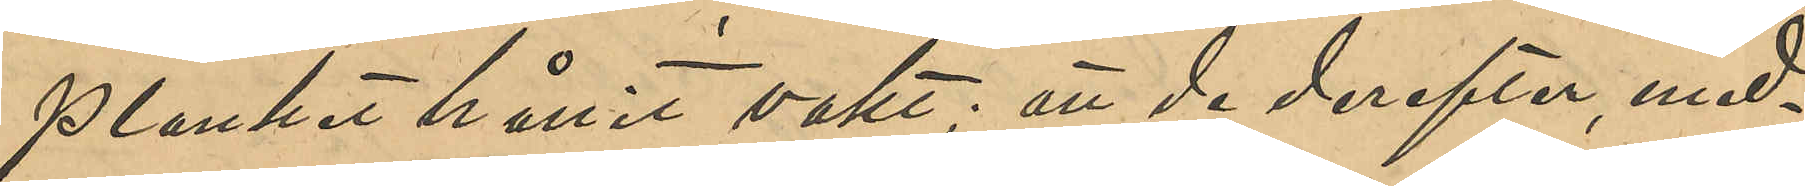planket hållit vakt; att de derefter, med¬
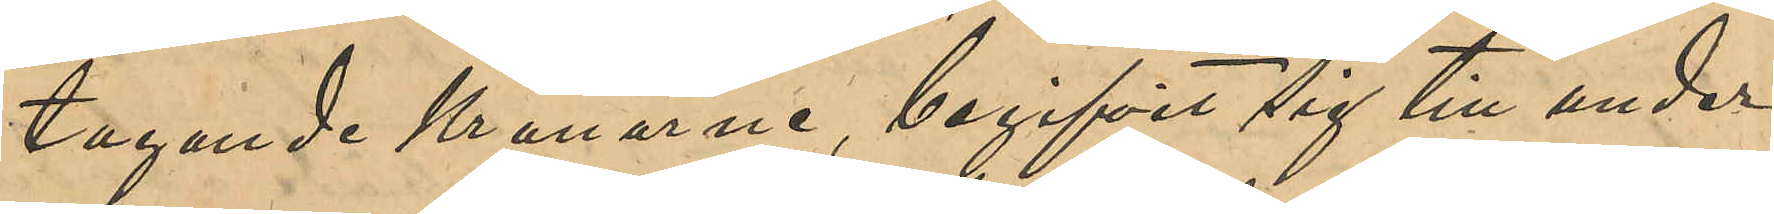tagande kranarna, begifvit sig till under
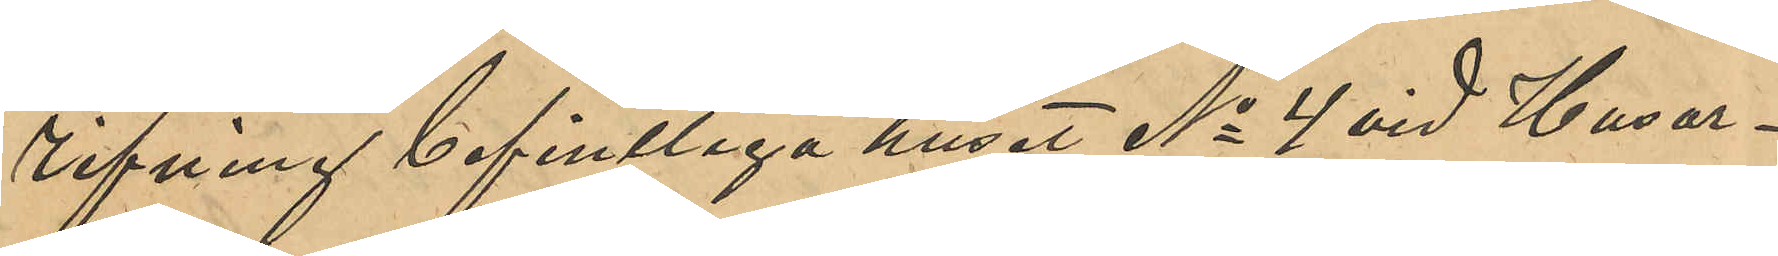rifning befintliga huset No 4 vid Husar¬
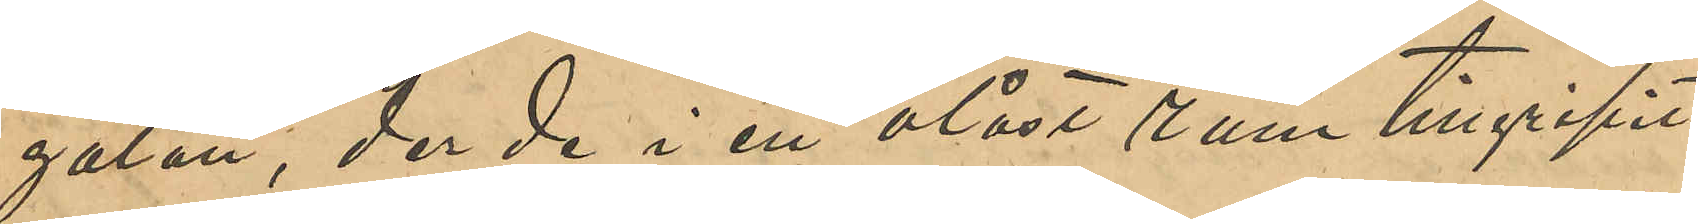gatan, der de i ett olåst rum tillgripit
